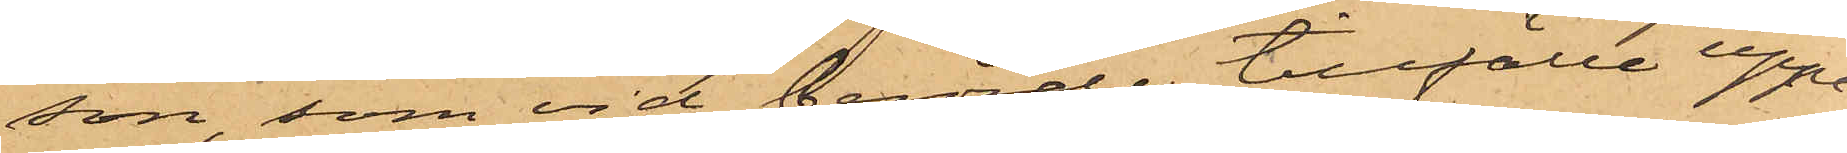son, som vid berörde tillfälle uppe¬
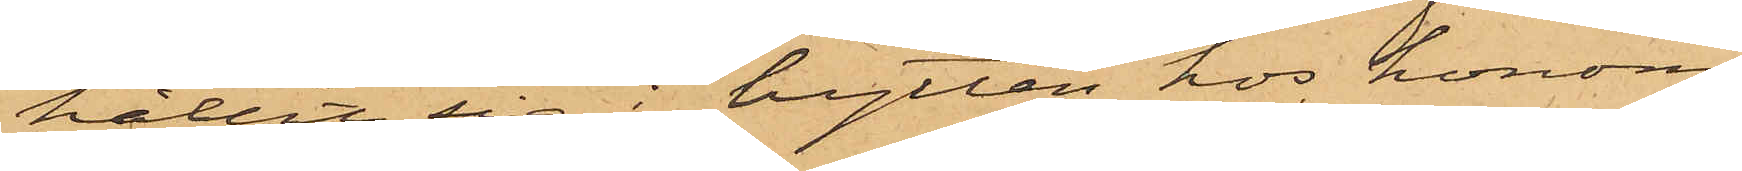hållit sig i hytten hos honom.
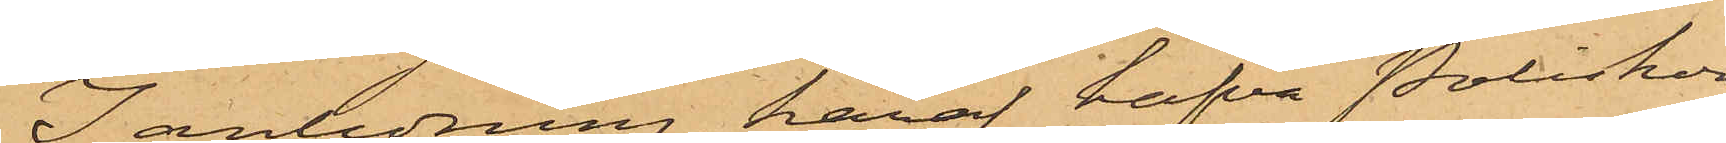I anledning häraf hafva Poliskon¬
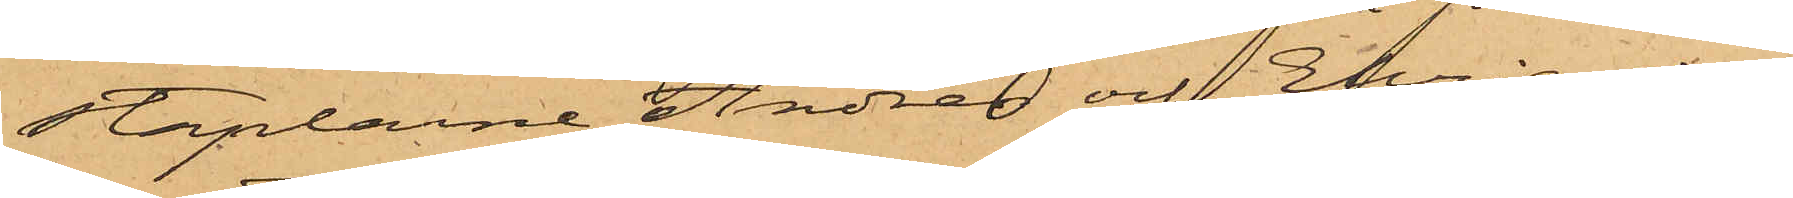staplarne Andrén och Ehriander
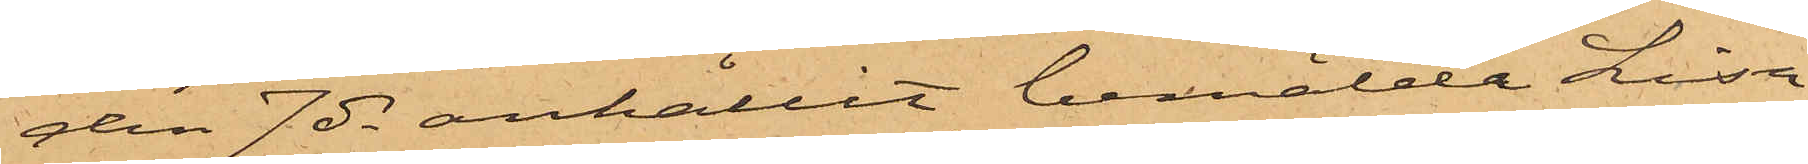den 7 ds anhållit bemälde Lisa
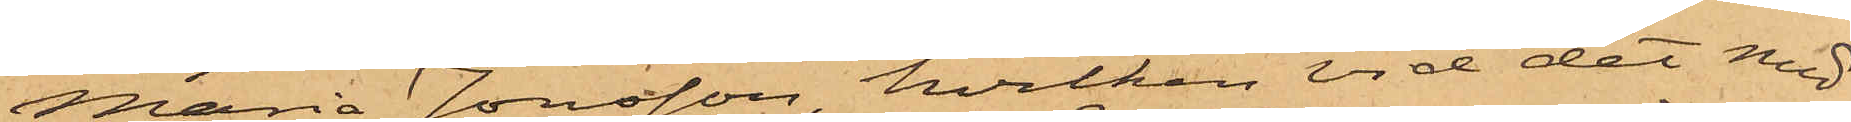Maria Jonsson, hvilken vid det med
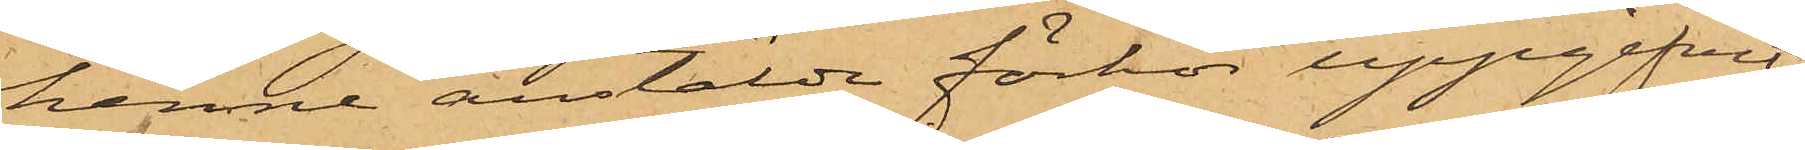henne anstälde förhör uppgifvit
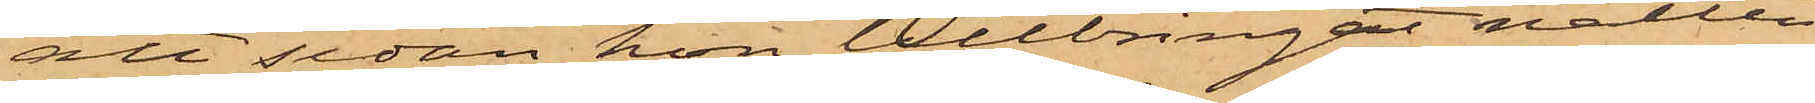att sedan hon tillbringat natten
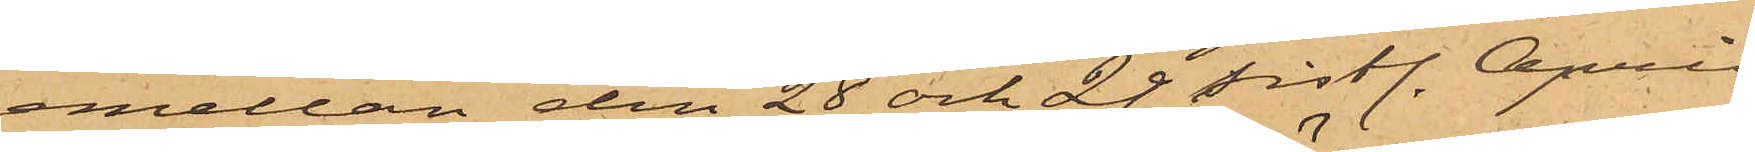emellan den 28 och 29 sistl. April
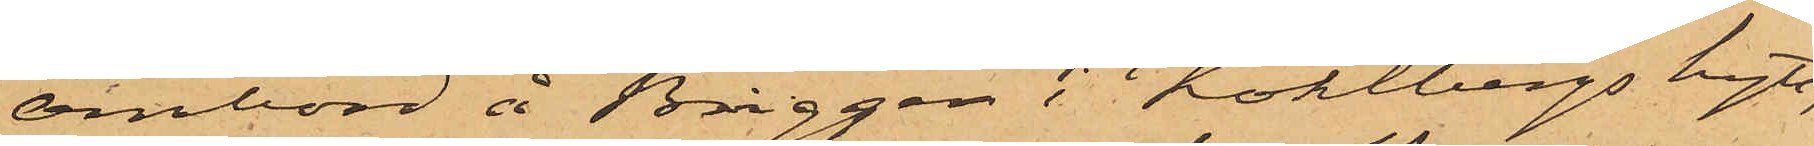ombord å Briggen i Köhlbergs hytt,
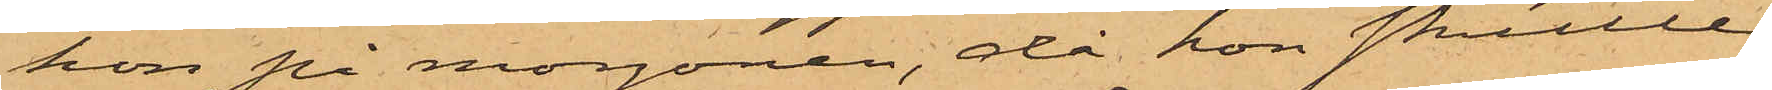hon på morgonen, då hon skulle
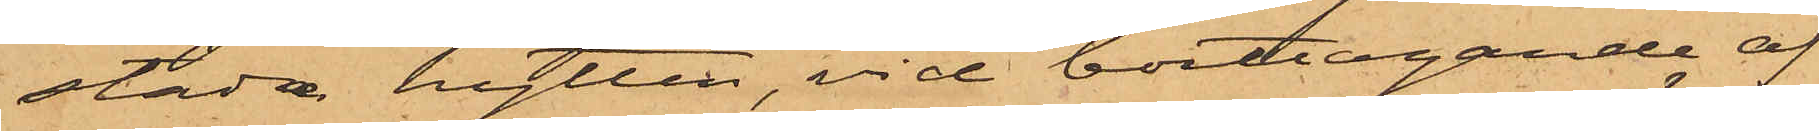städa hytten, vid borttagande af
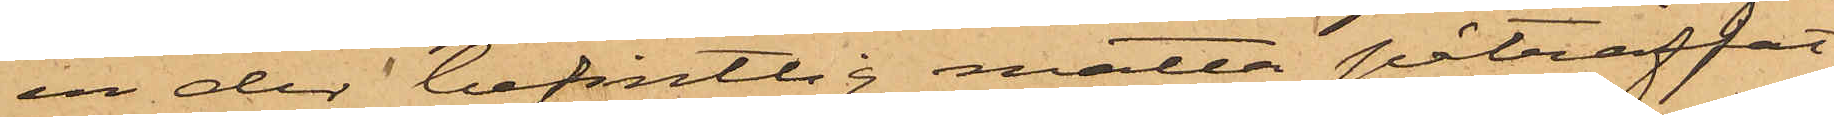en der befintlig matta påträffat
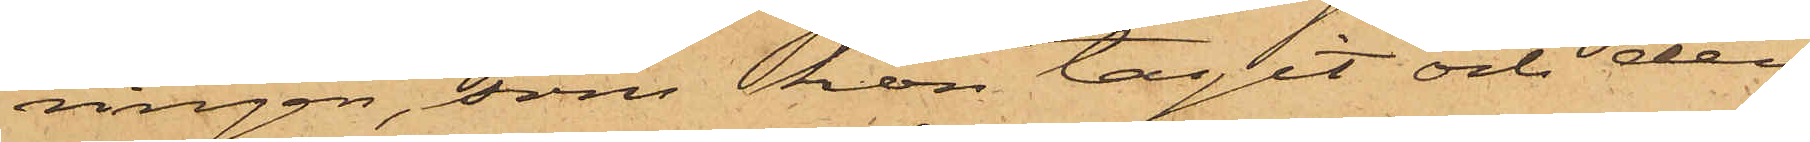ringen, som hon tagit och den
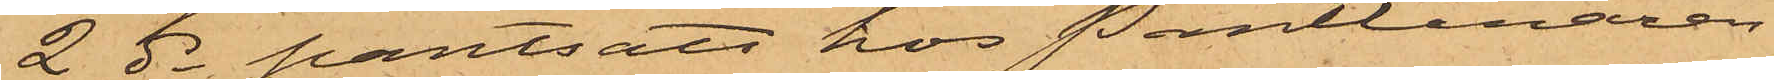2 ds pantsatt hos Pantlånaren
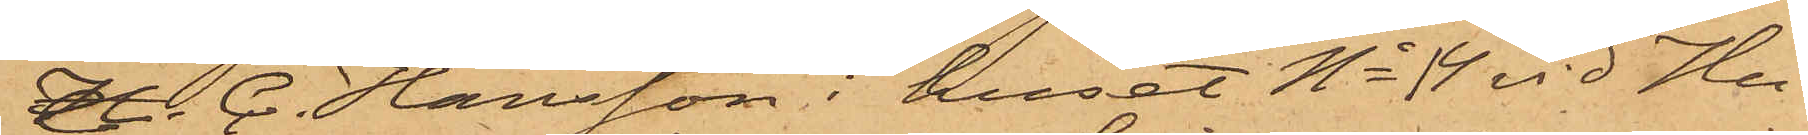H. C. Hansson i huset No 14 vid Hu¬
